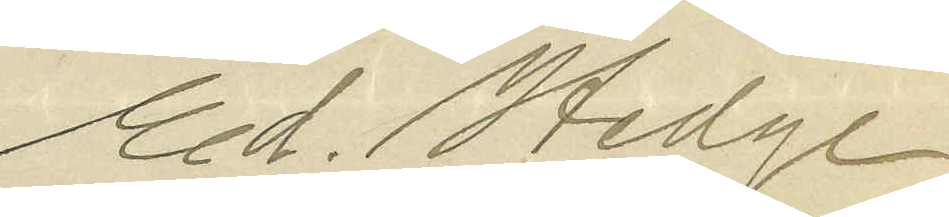Ed. Hedge
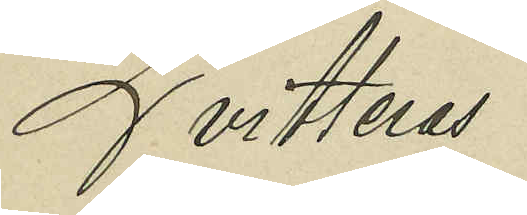Qvitteras
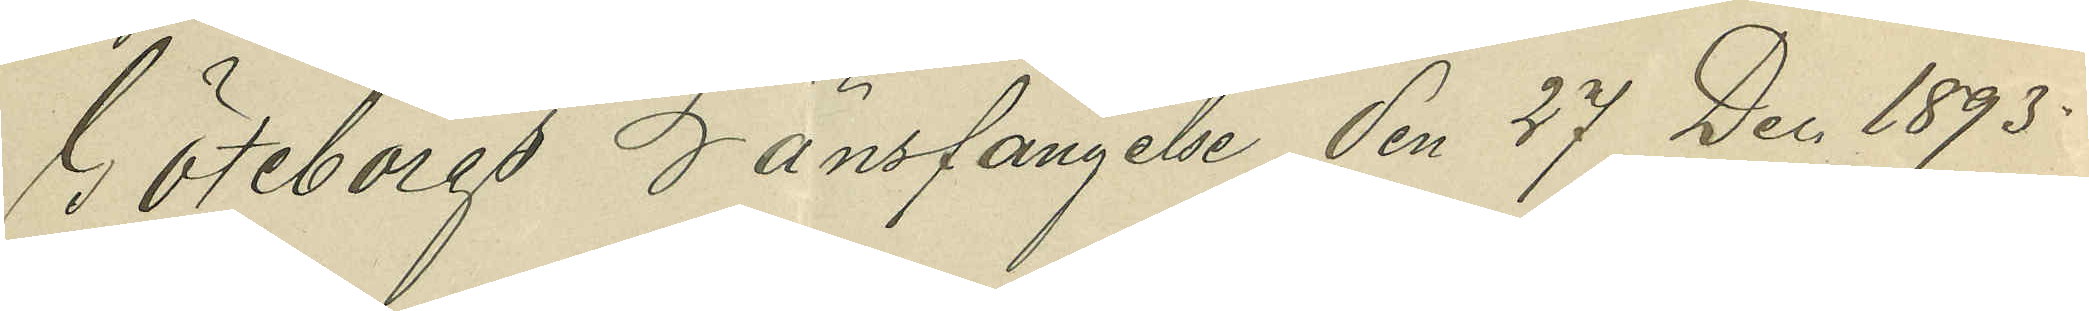Göteborgs Länsfängelse den 27 Dec. 1893.
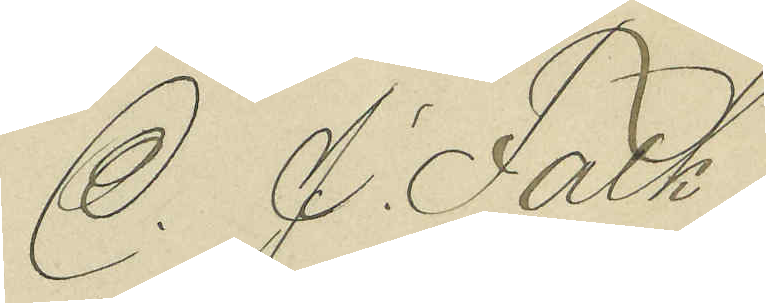C. J. Falk
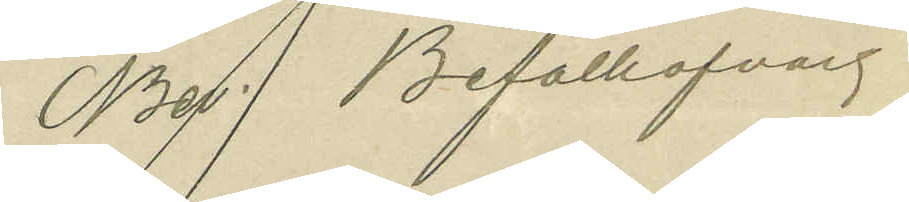Bev. Befälhafvare
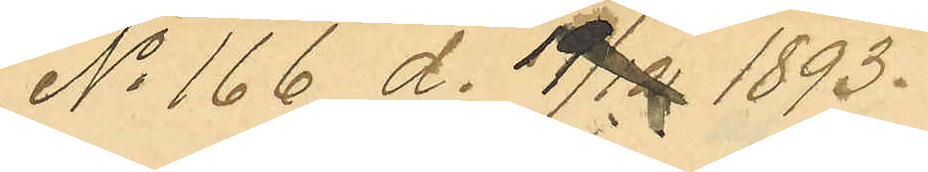No 166 d. 19/12 1893.
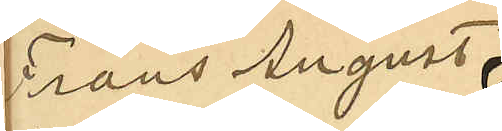Frans August
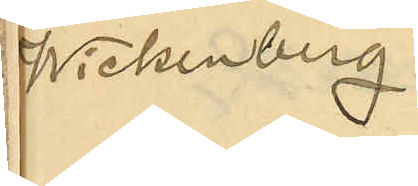Wickenberg
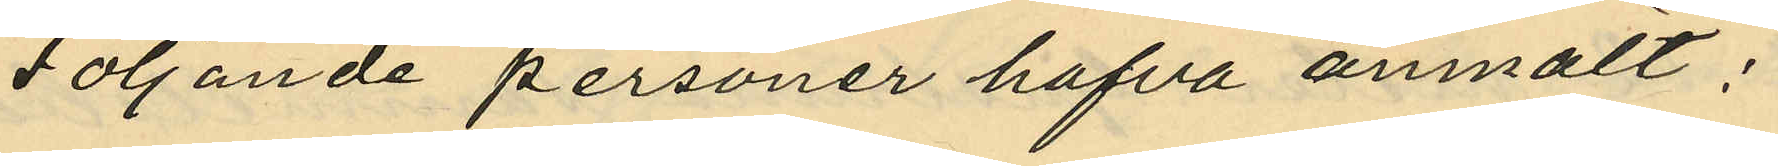Följande personer hafva anmält:
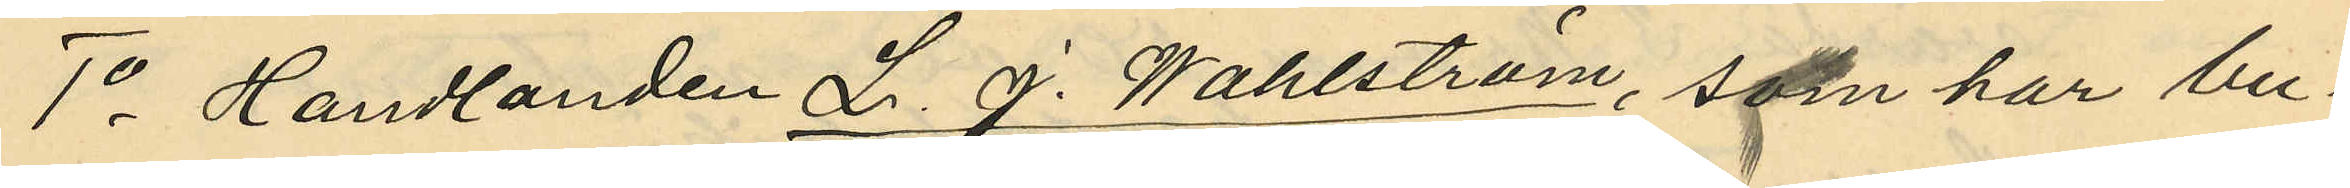1o Handlanden L. J. Wahlström, som har bu¬
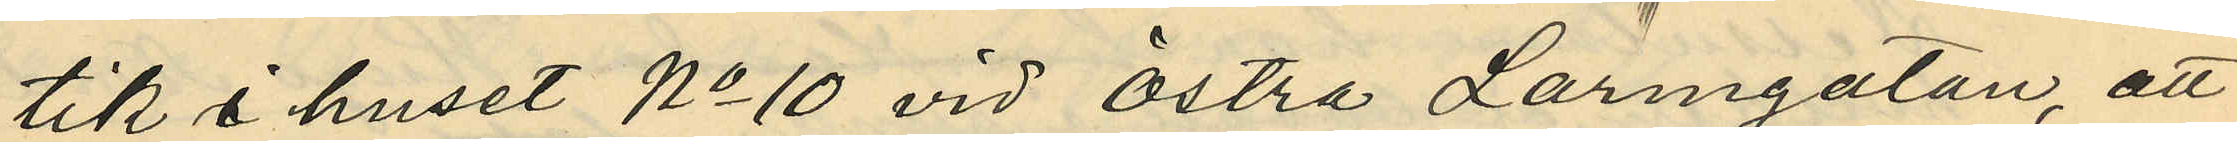tik i huset No 10 vid Östra Larmgatan, att
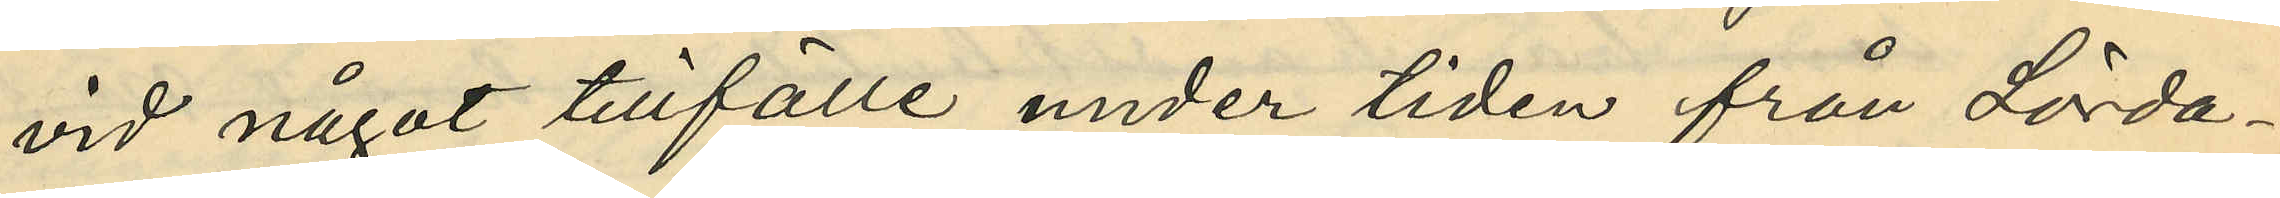vid något tillfälle under tiden från Lörda¬
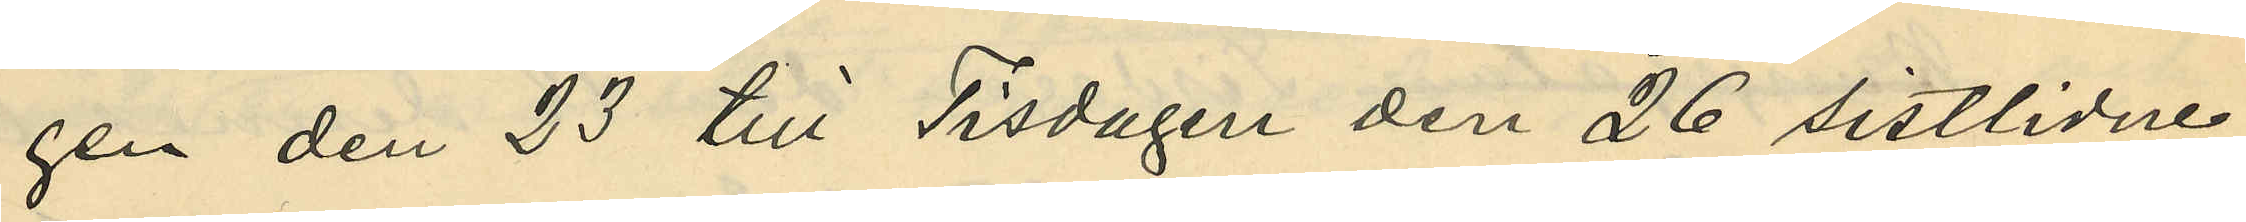gen den 23 till Tisdagen den 26 sistlidne
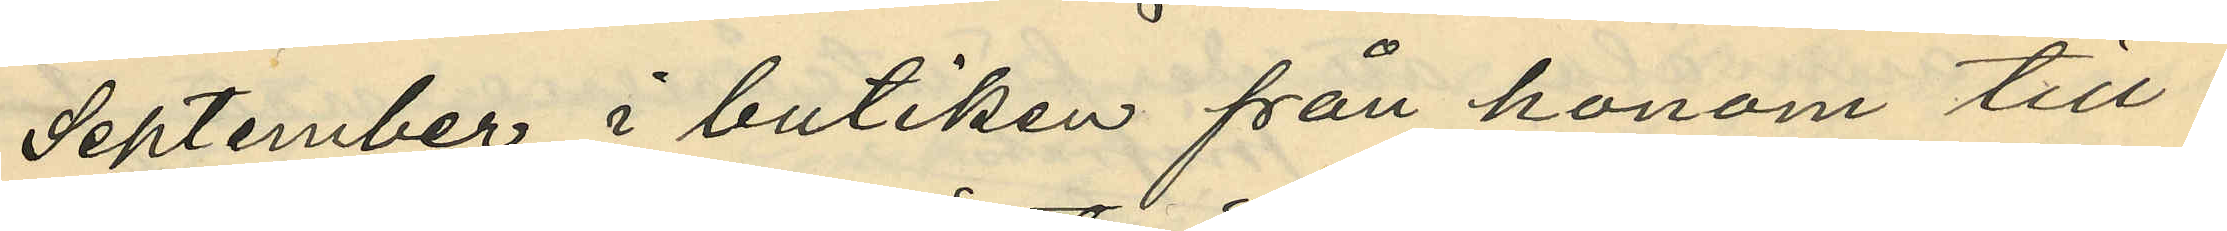September i butiken från honom till¬
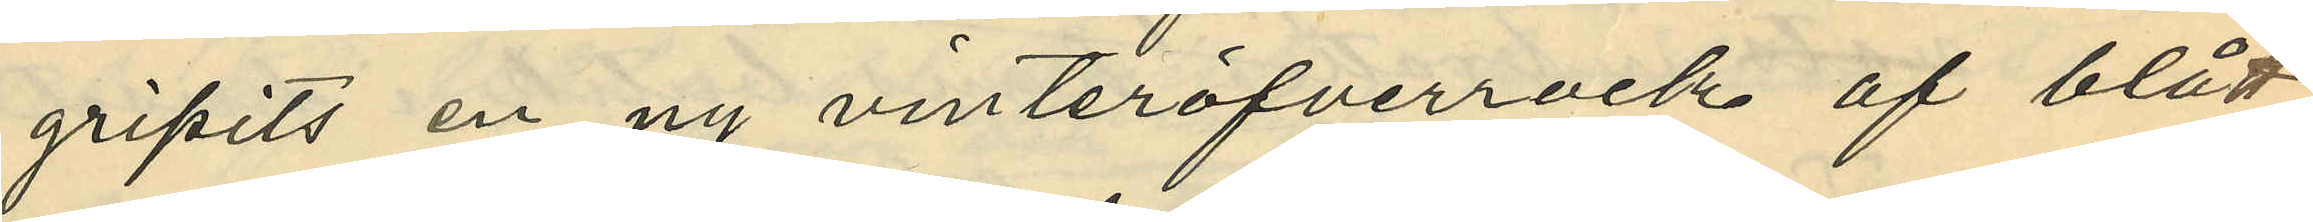gripits en ny vinteröfverrock af blått
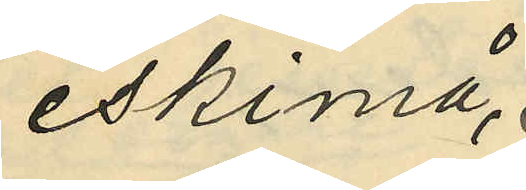eskimå¬
